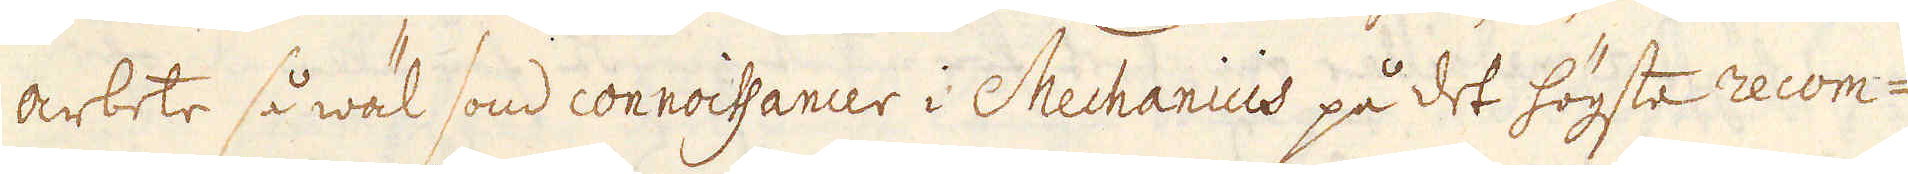arbete så wäl som connoissancer i Mechanicis på det högste recom-
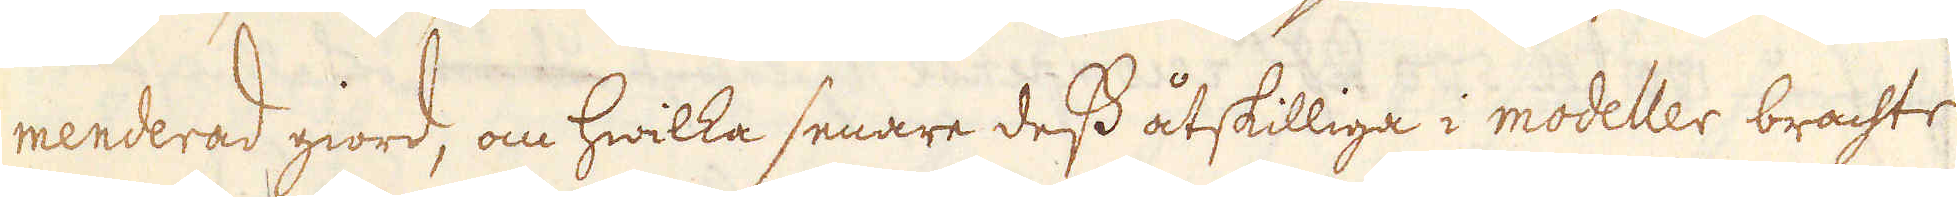menderad giord, om hwilka senare dess åtskilliga i modeller brachte
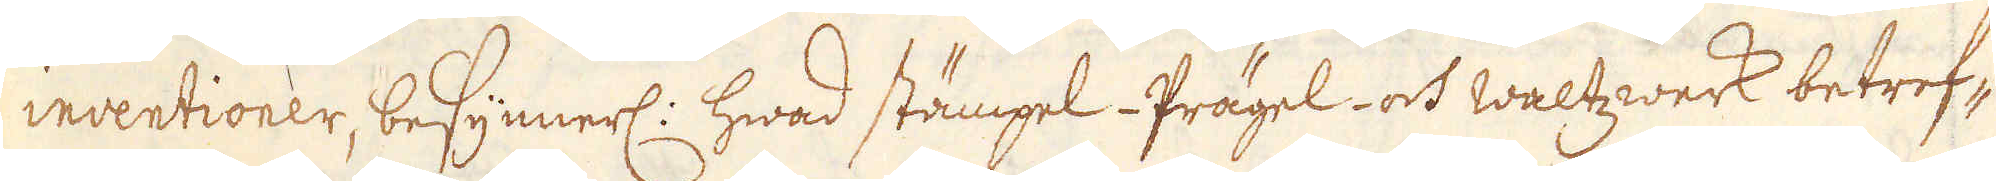inventioner, besynnerl: hwad stämpel- Prägel- och waltzwerk betref-
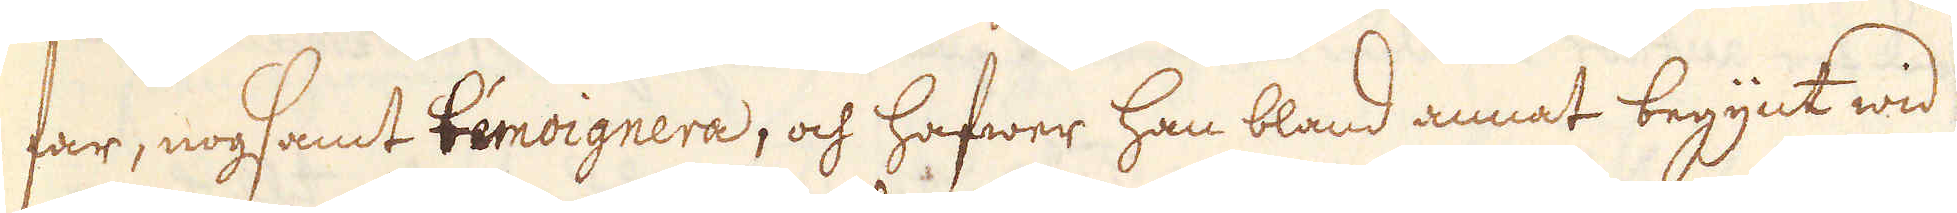far, nogsamt béeovignera, och hafwer han bland annat begytk wid
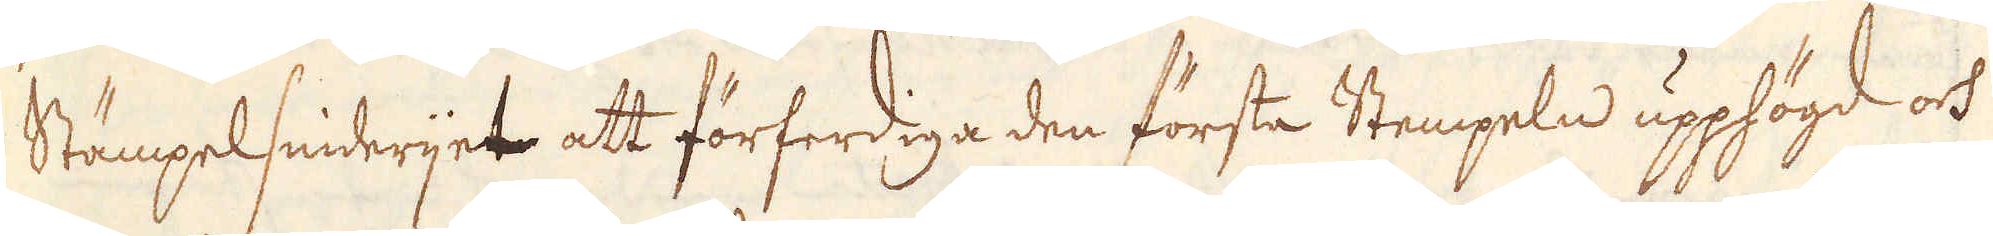Stämpelsniderijet att förferdiga den första Stempeln upphögd och
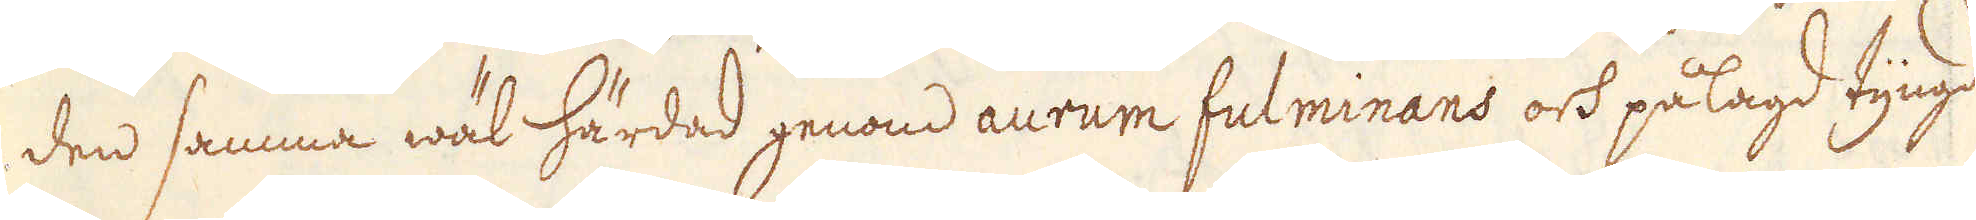den samma wäl härdad genom aurum fulminans och pålagd tyngd
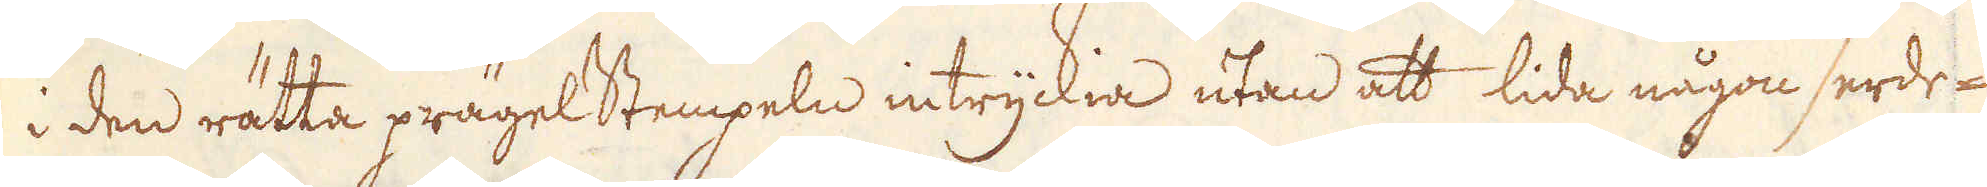i den rätta prägelstempeln intryckia utan att lida någon serde-
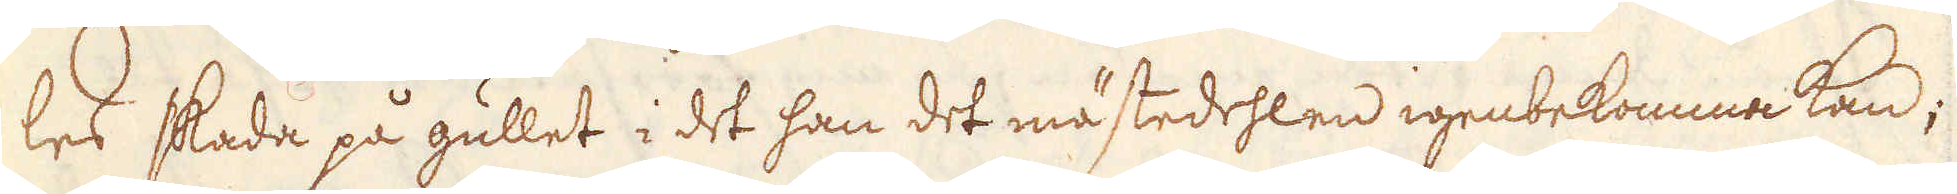les skada på gullet i det han det mästedehlen igenbekomme kan;
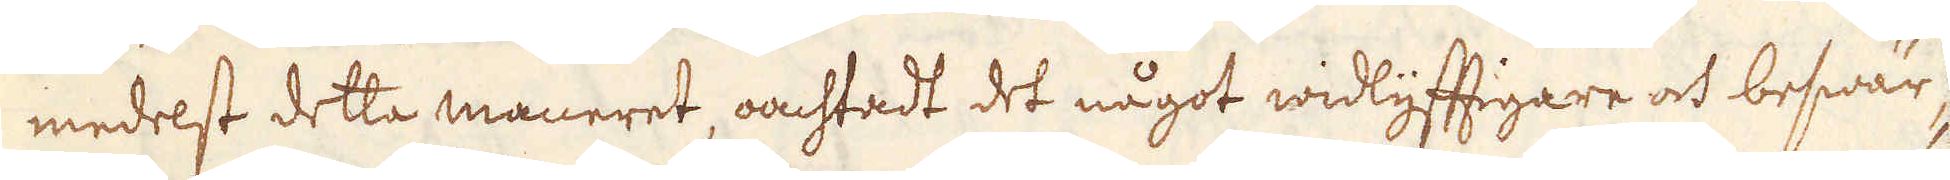medelst detta maneret, omstadt det något widlyftigare och beswär-
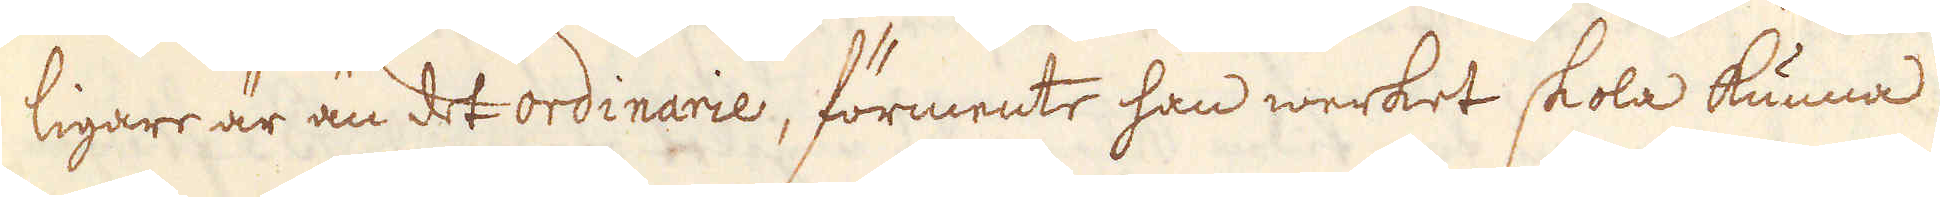ligare är än det ordinarie, förmente han werket skola kunna
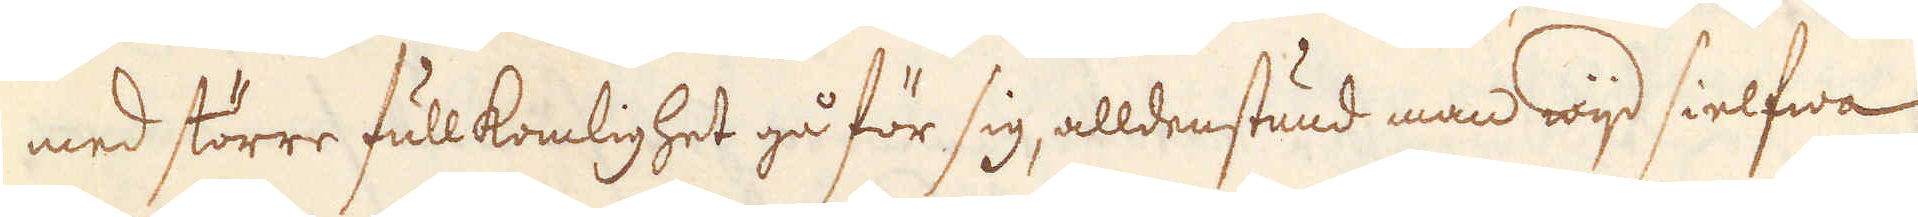med större fullkomlighet gå för sig, alldenstund man wijd sielfwa
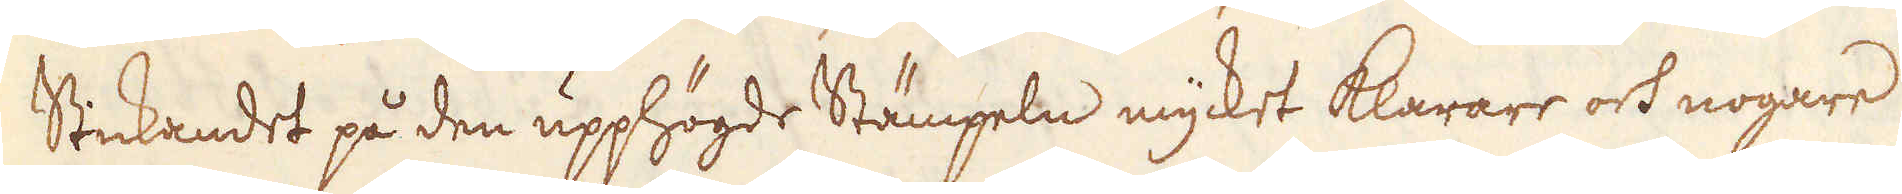Stickandet på den upphögde Stämpeln mycket klarare och nogare
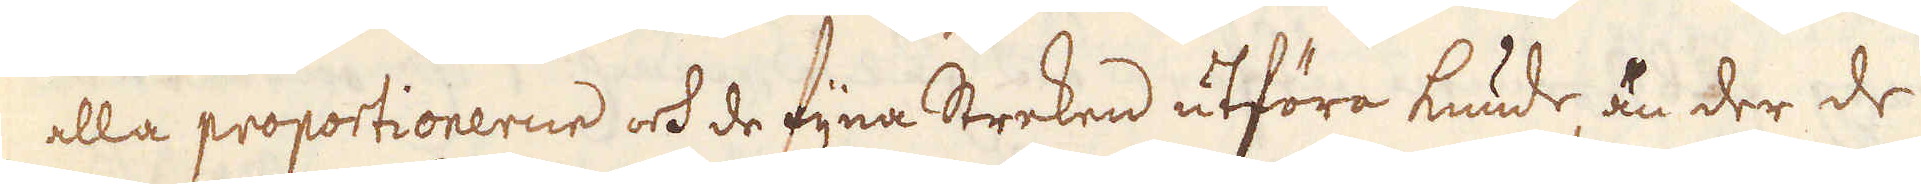alla proportionerne ok de fijna Streken utföra kunde, än der de
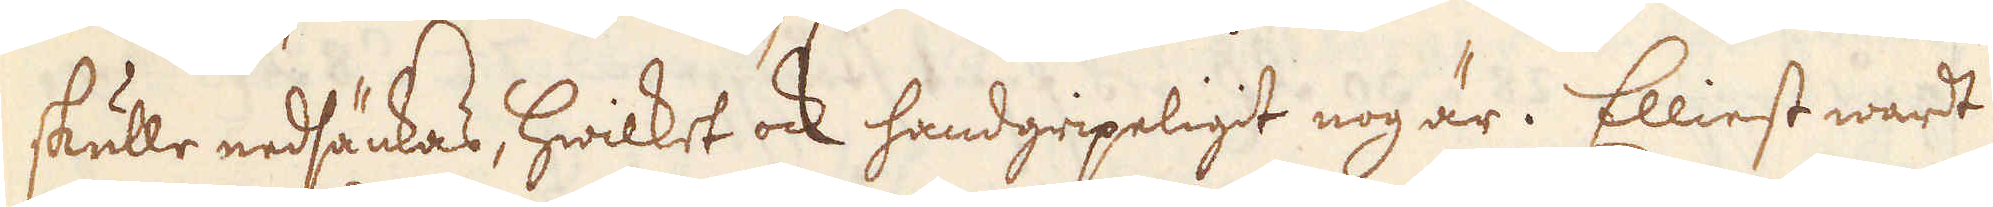skulle nedsänkas, hwilket ock handgripeligt nog är. Elliest wart
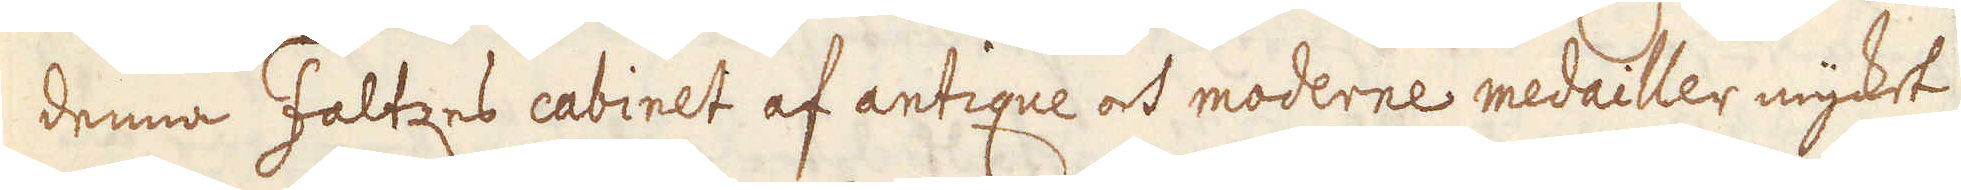denna Faltzes cabinet af antique och moderne medailler mycket
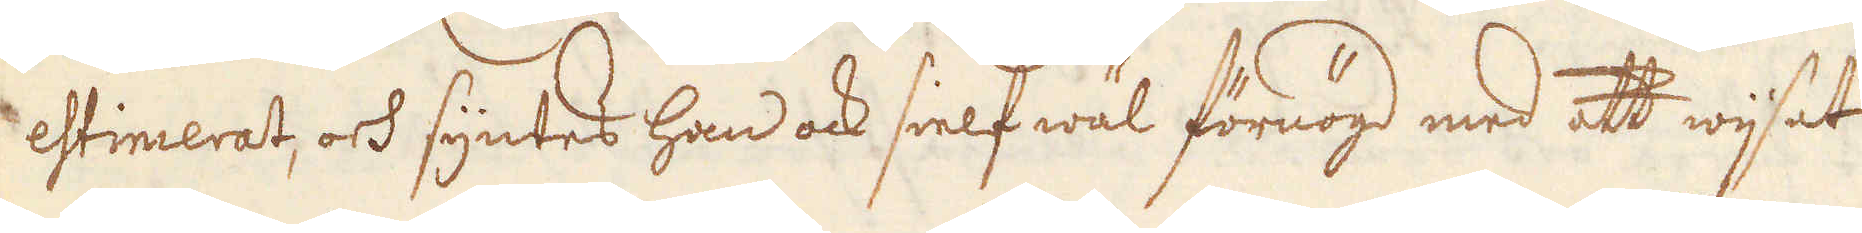estimerat, och syntes han ock sielf wäl förnögd med att wijsat
